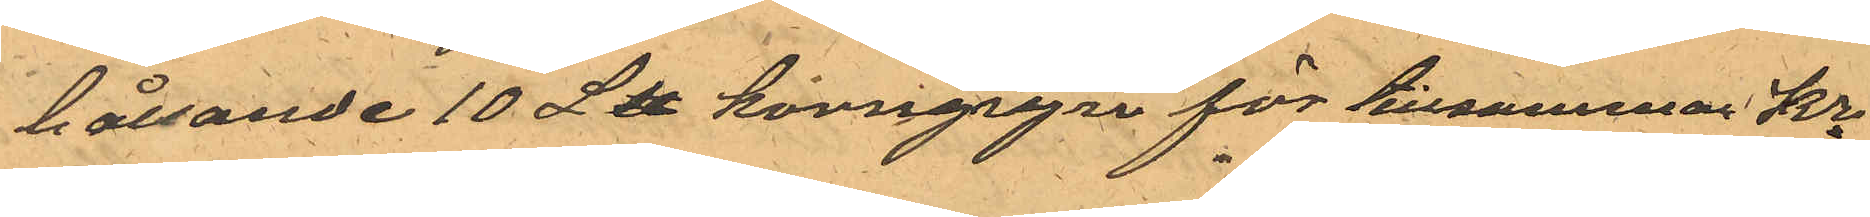hållande 10 L℔ korngryn för tillsammans Kr
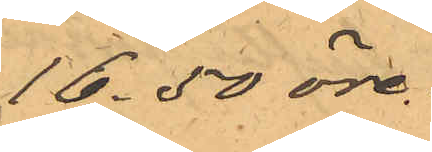16.50 öre.
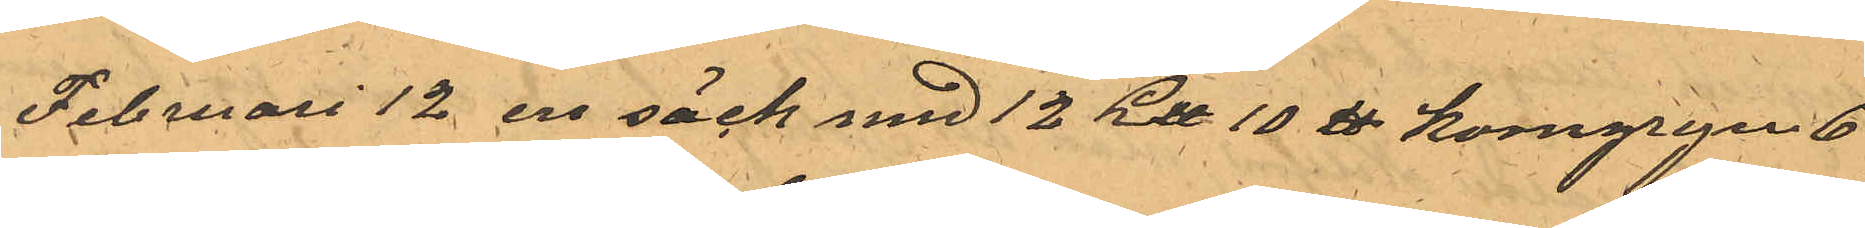Februari 12 en säck med 12 L℔ 10 ℔ korngryn 6
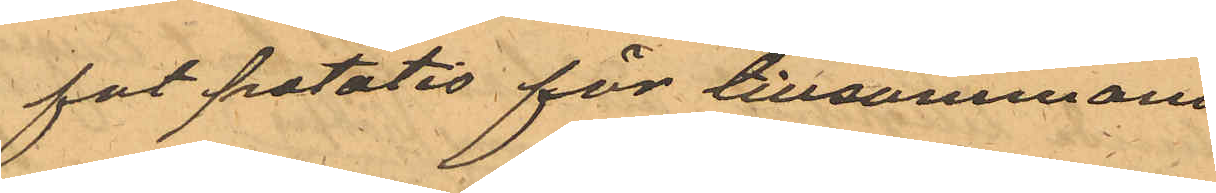fot potatis för tillsammans
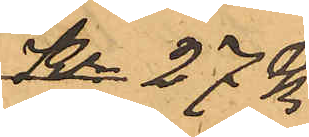Kr 27 Kr
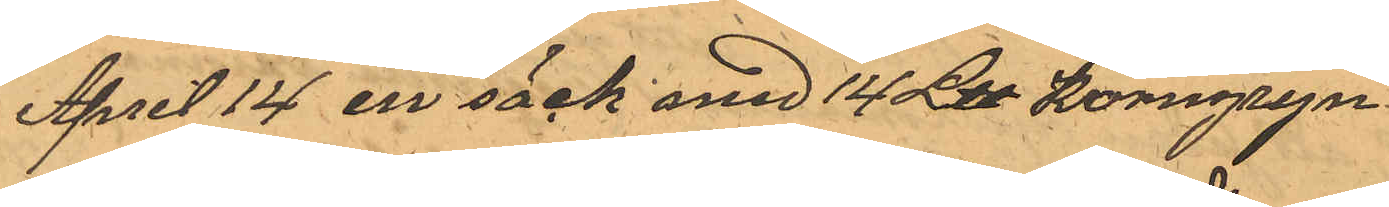April 14 en säck med 14 L℔ Korngryn
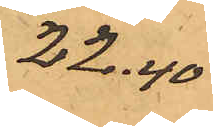22:40
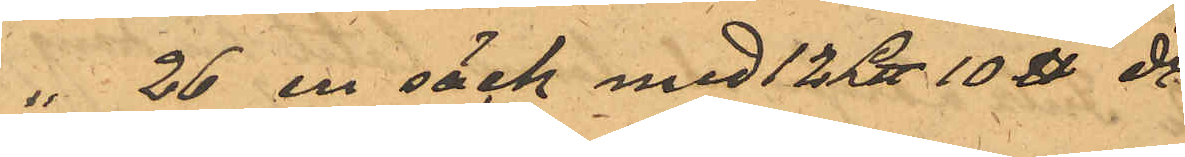" 26 en säck med 12 L℔ 10℔ do
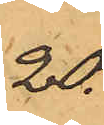20.
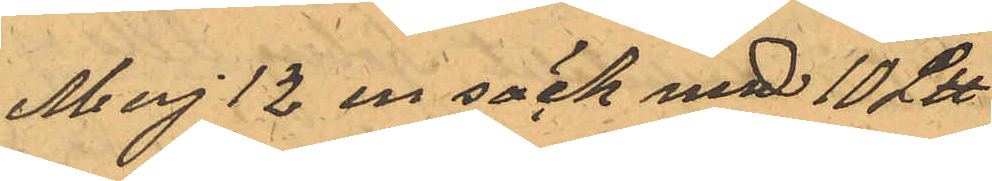Maj 12 en säck med 10 L℔. do
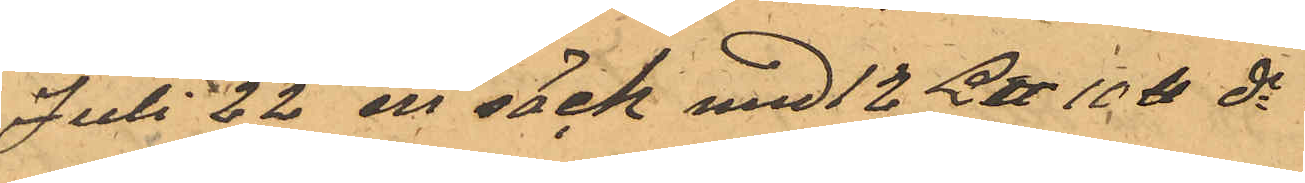Juli 22 en säck med 12 L℔ 10℔ do
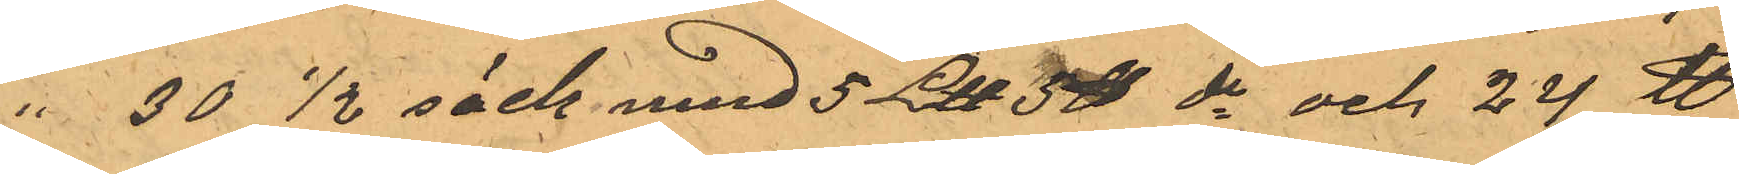" 30 1/2 säck med 5 L℔ 5℔ do och 24 ℔
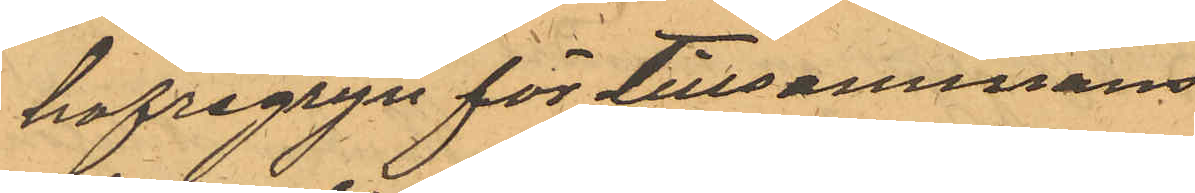hafregryn för tillsammans
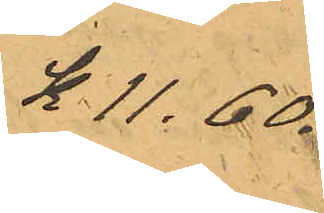K. 11:60
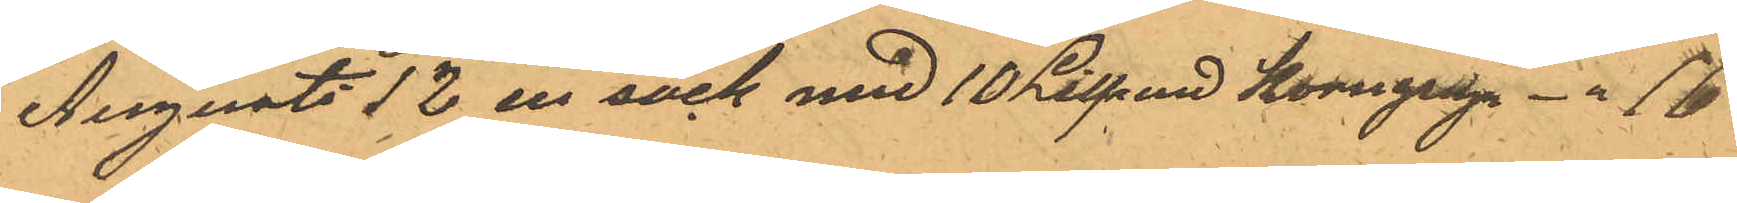Augusti 12 en säck med 10 Lispund korngryn -" 16
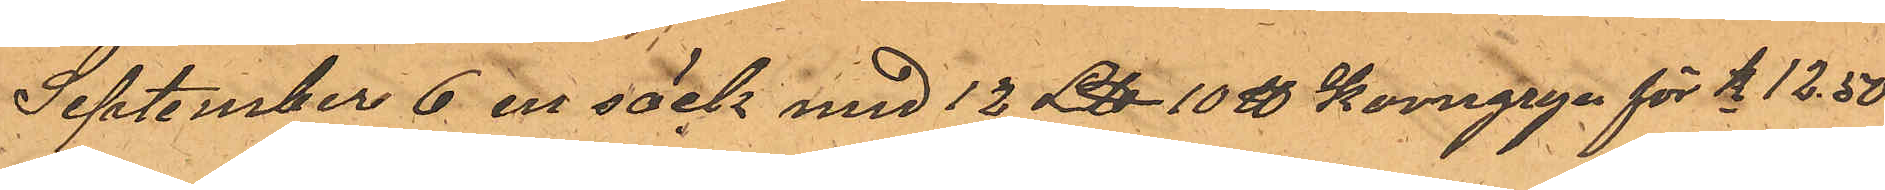September 6 en säck med 12 L℔. 10℔ korngryn för Kr 12,50
